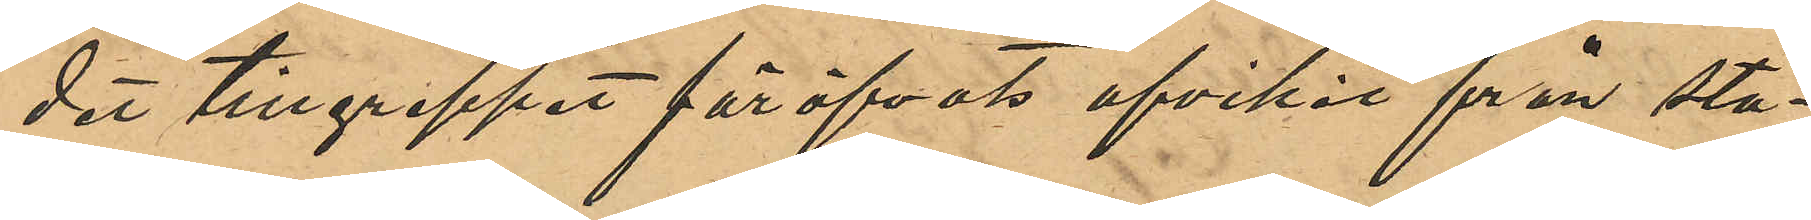det tillgreppet föröfvats afvikit från sta¬
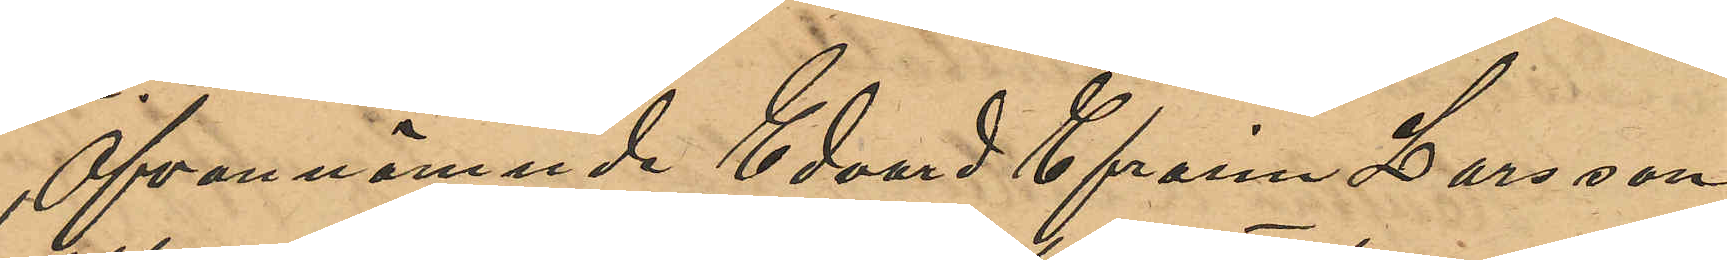Ofvannämnde Edvard Efraim Larsson,
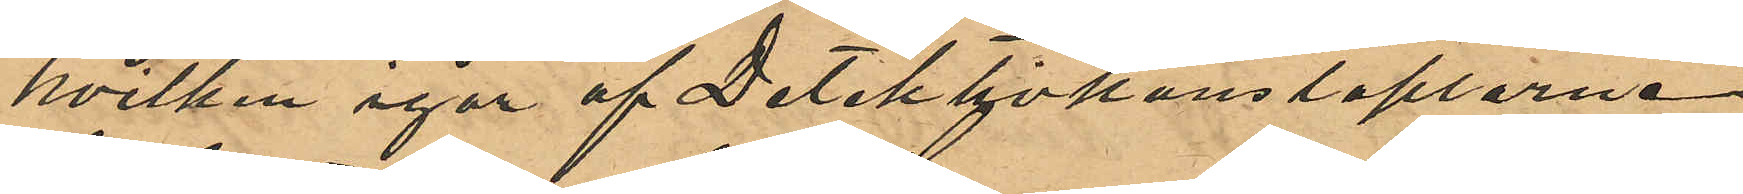hvilken igår af Detektivkonstaplarne
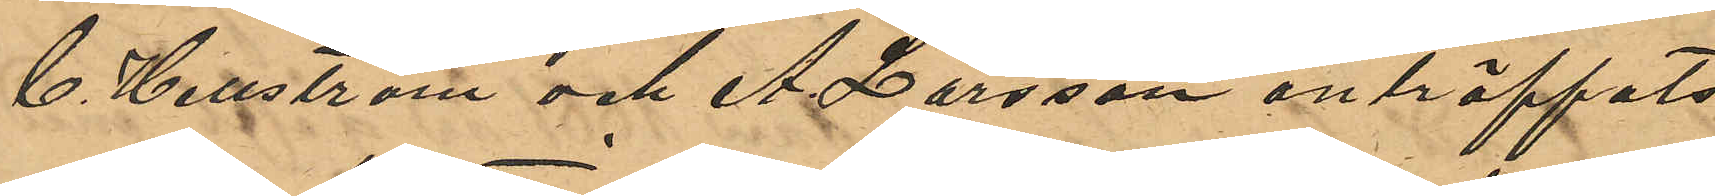C. Hellström och A. Larsson anträffats
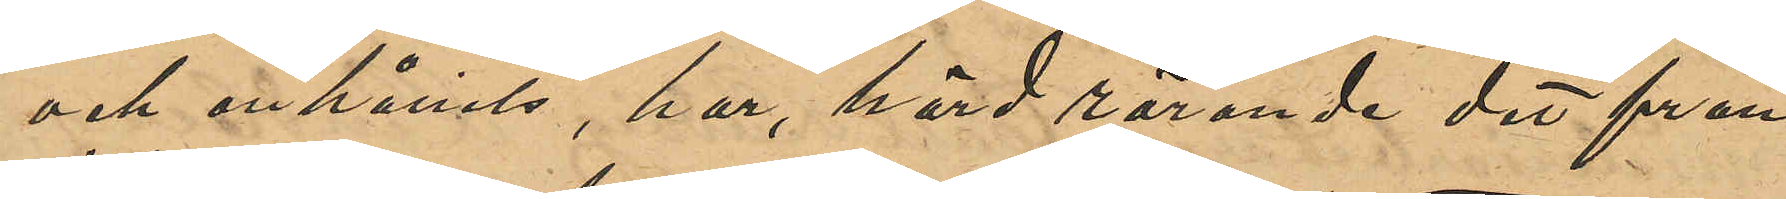och anhållits, har, hörd rörande det från
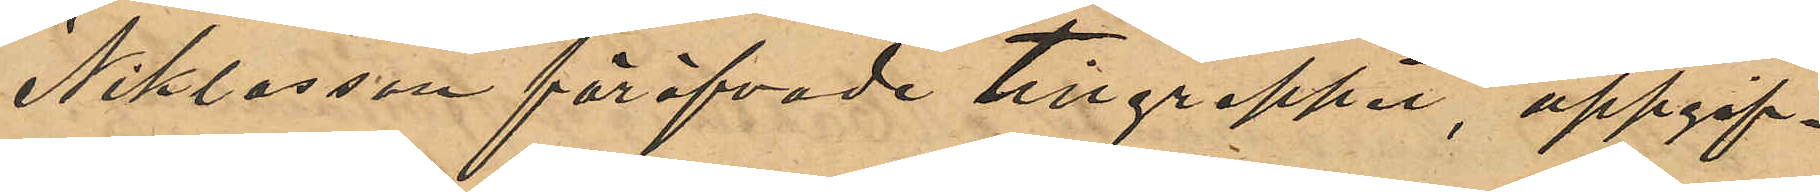Niklasson föröfvade tillgreppet, uppgif¬
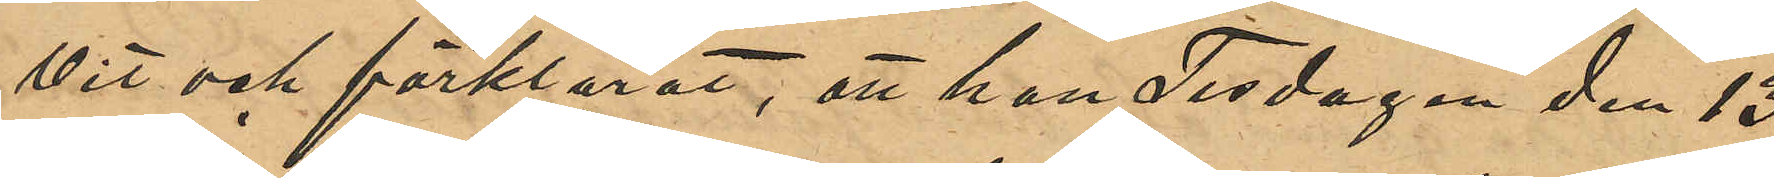vit och förklarat, att han Fredagen den 13
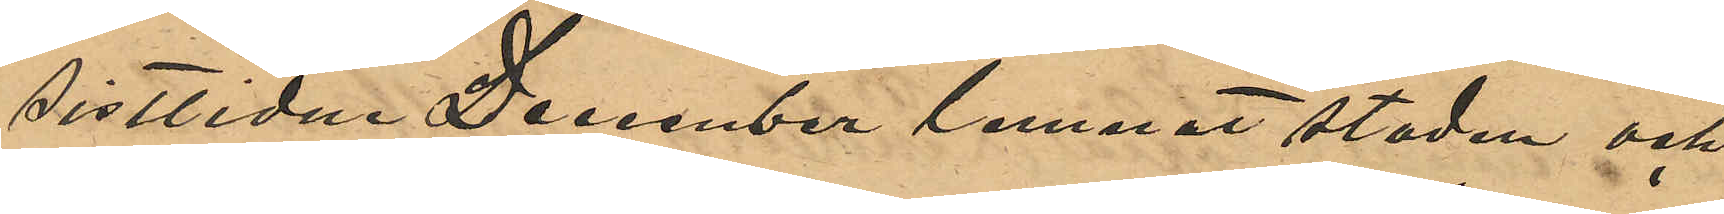sistlidne December lemnat staden och
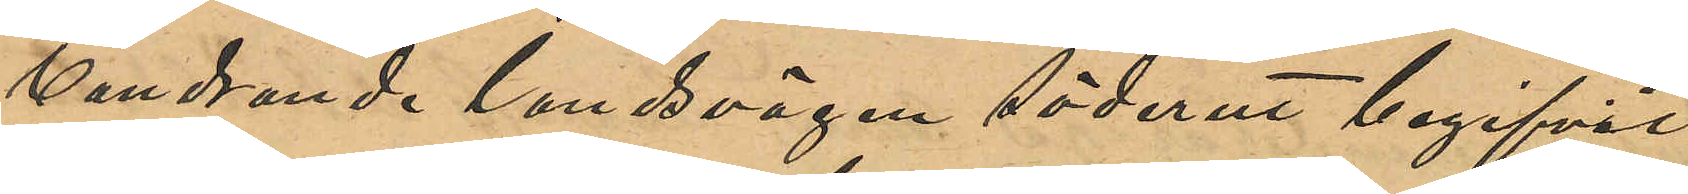vandrande landsvägen söderut begifvit
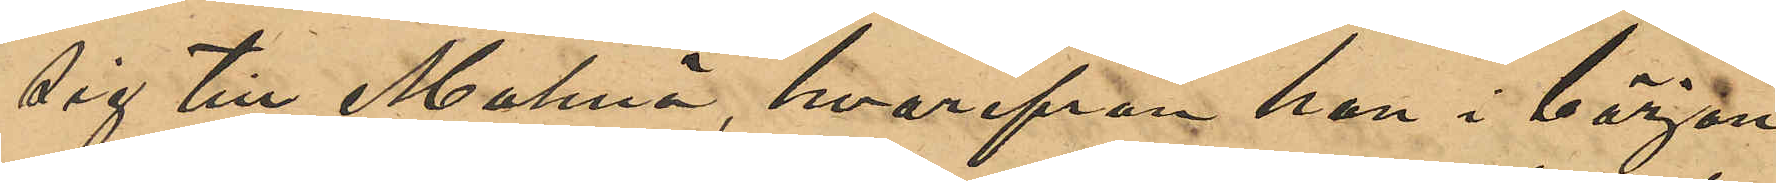sig till Malmö, hvarifrån han i början
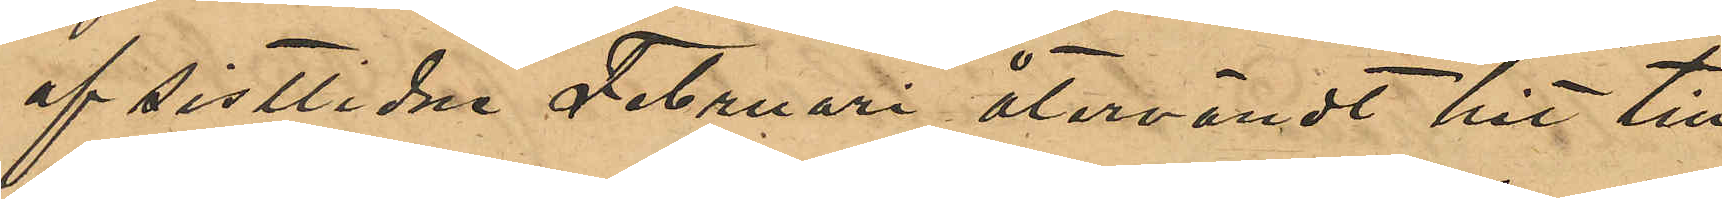af sistlidne Februari återvändt hit till
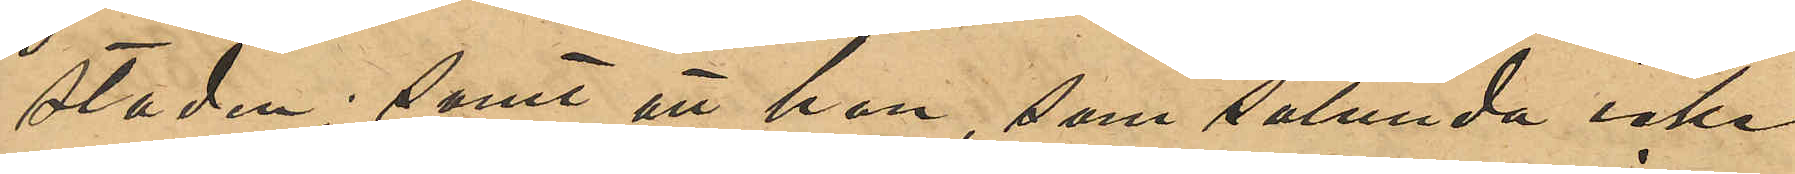staden; samt att han, som sålunda icke
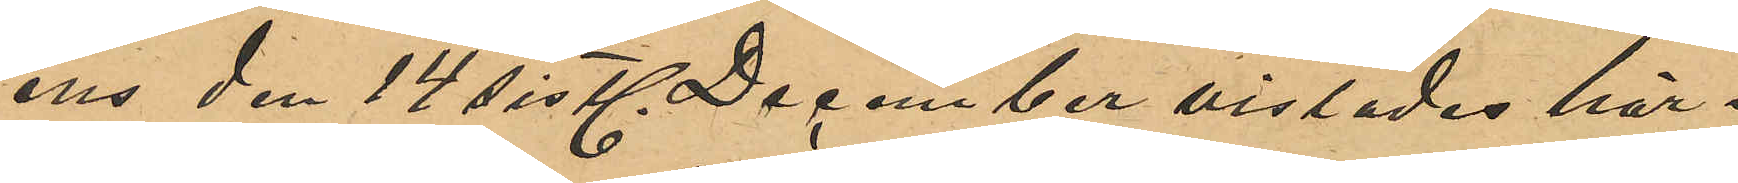ens den 14 sistlidne December vistades här i
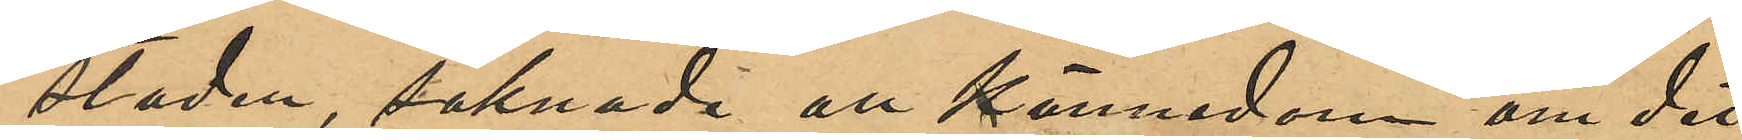staden, saknade all kännedom om det
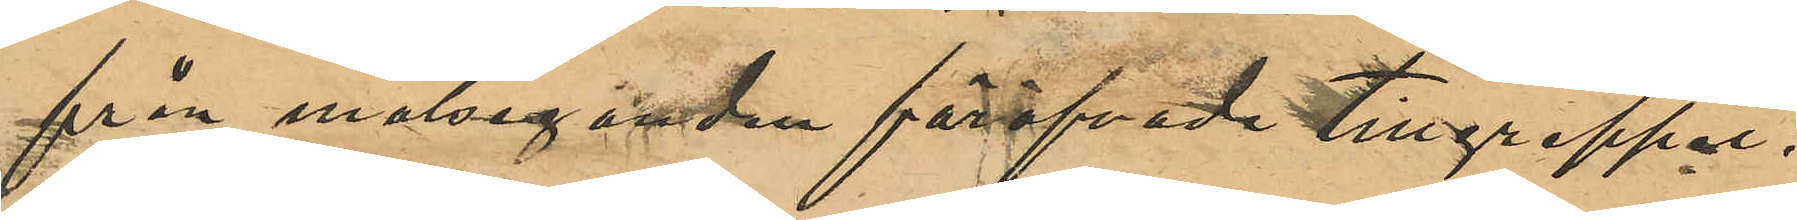från målseganden föröfvade tillgreppet.
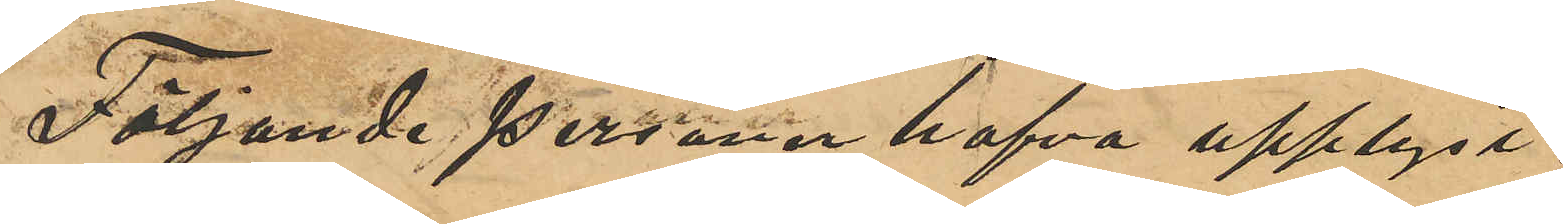Följande personer hafva upplyst:
